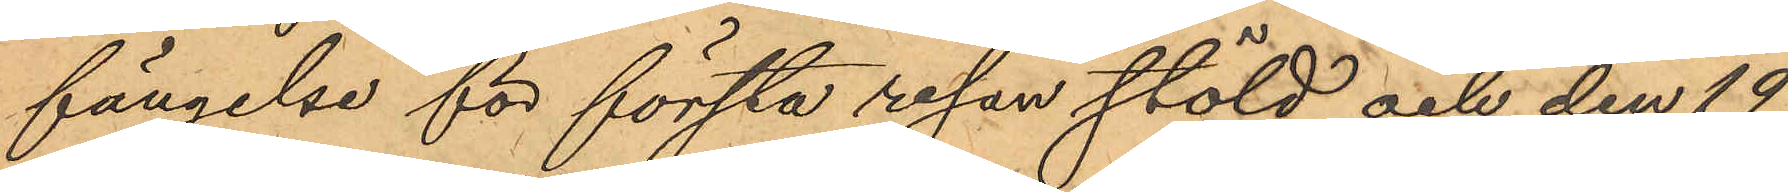fängelse för första resan stöld och den 19
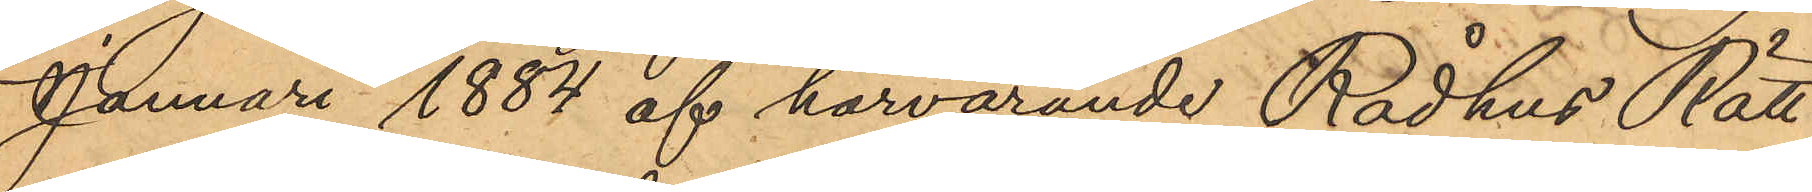Januari 1884 af härvarande Rådhus Rätt
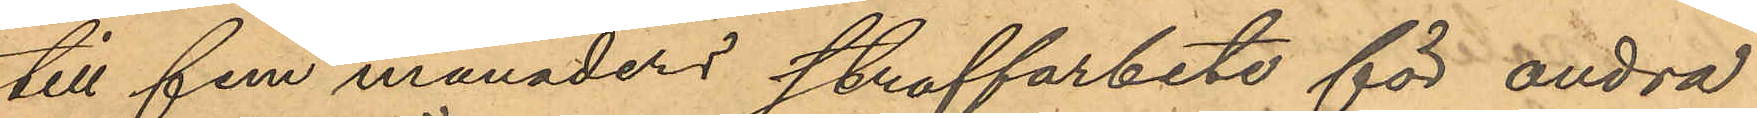till fem månaders straffarbete för andra
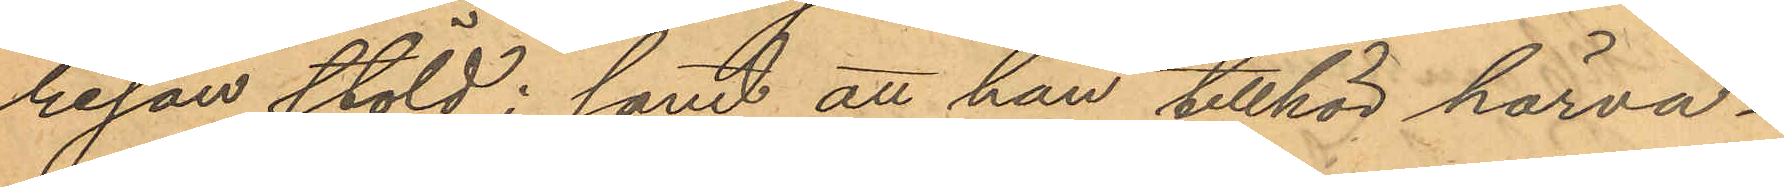resan stöld; samt att han tillhör härva¬
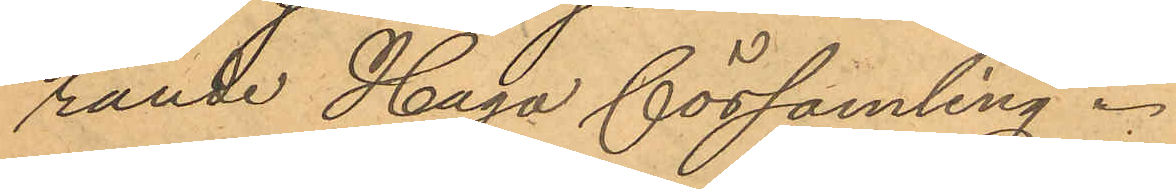rande Haga församling.
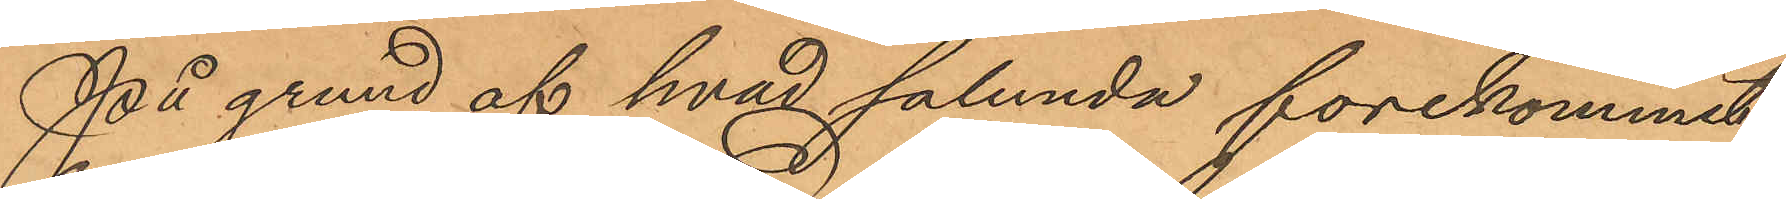På grund af hvad sålunda förekommit
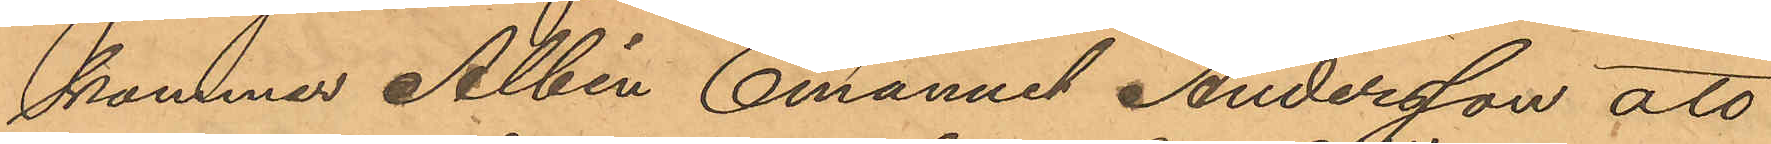kommer Albin Emanuel Andersson att
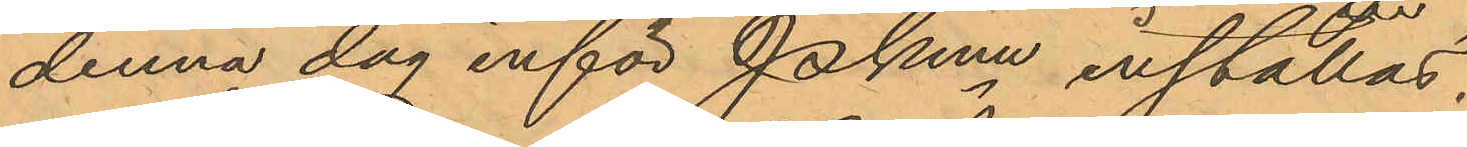denna dag inför Pkmn inställas.
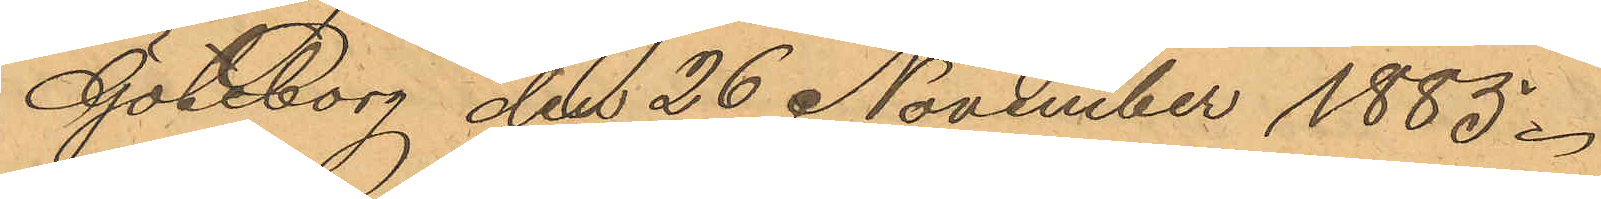Göteborg den 26 November 1885.
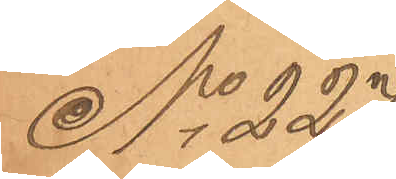No 227
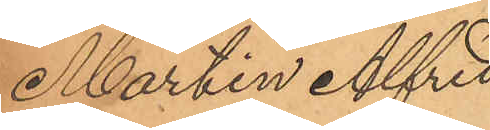Martin Alfred
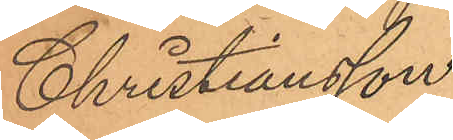Christiansson.
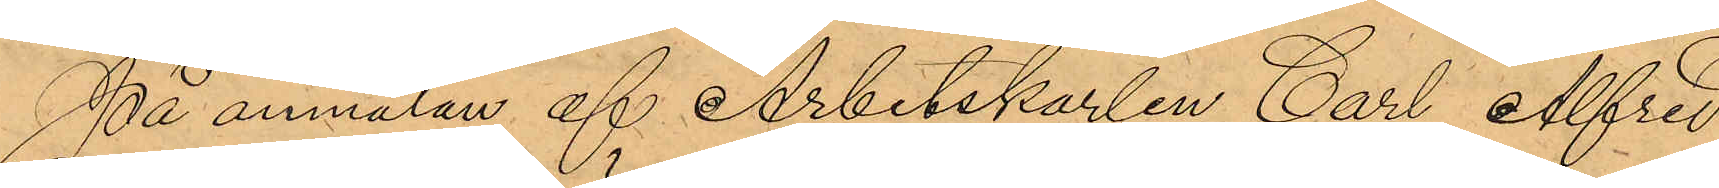På anmälan af Arbetskarlen Carl Alfred
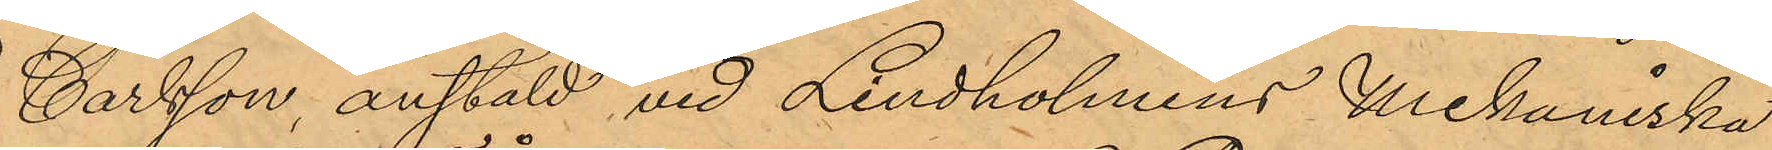Carlsson, anstäld vid Lindholmens Mekaniska
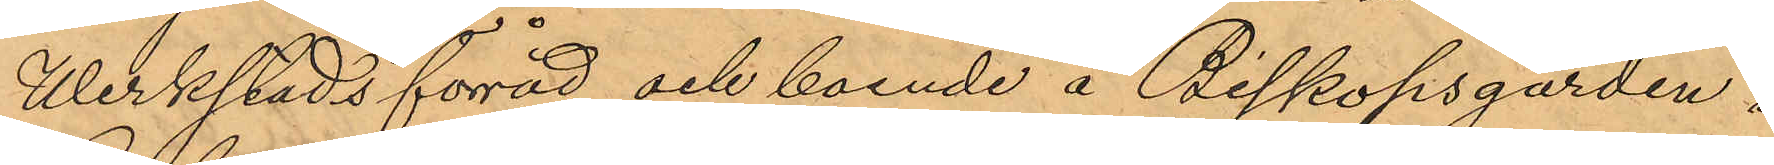Werkstads förråd och boende å Biskopsgården i
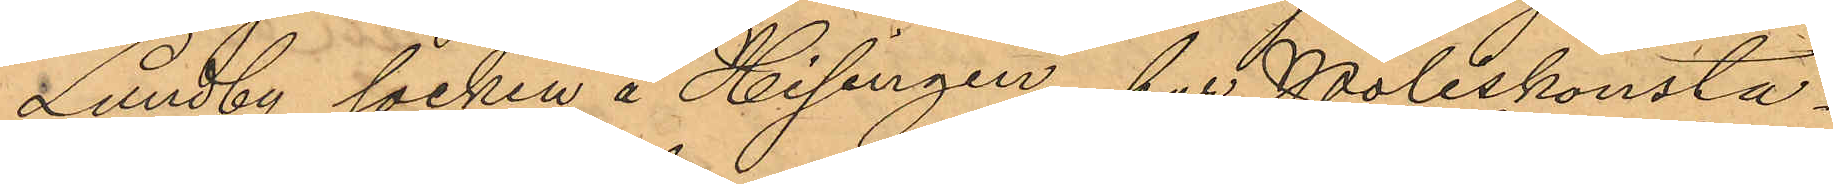Lundby socken å Hisingen, har Poliskonsta¬
